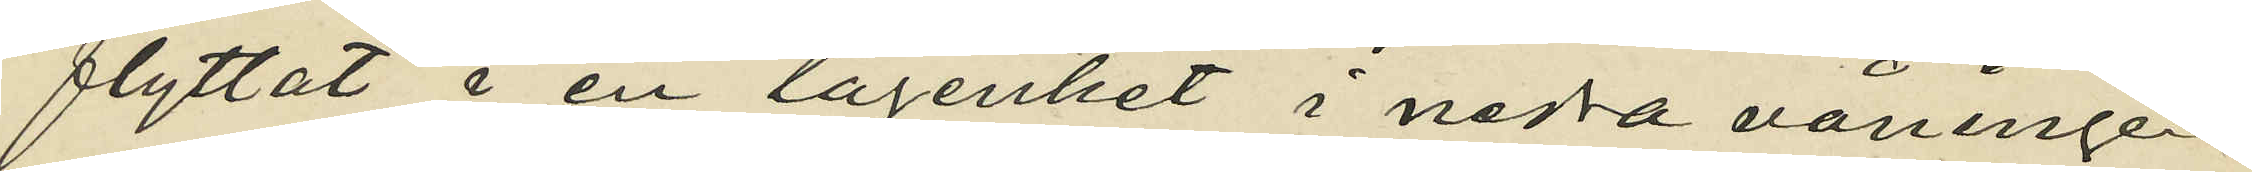flyttat i en lägenhet i nedra våningen
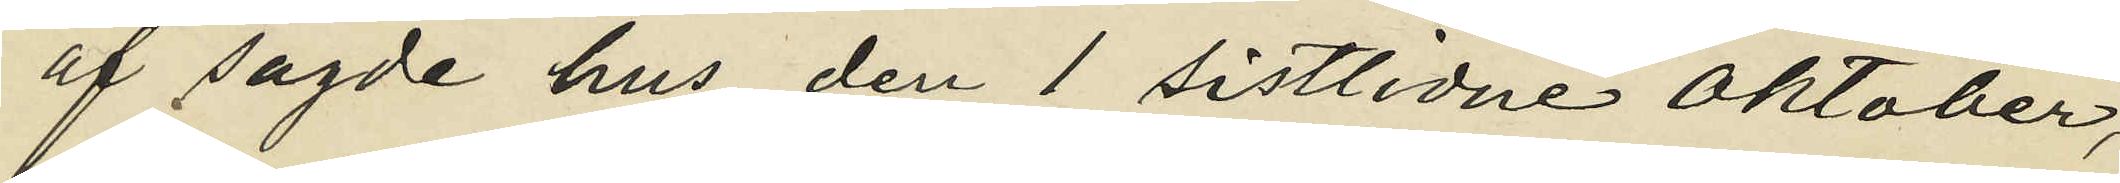af sagde hus den 1 sistlidne Oktober,
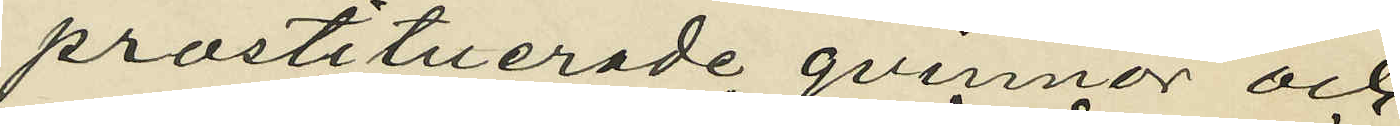prostituerade qvinnor och
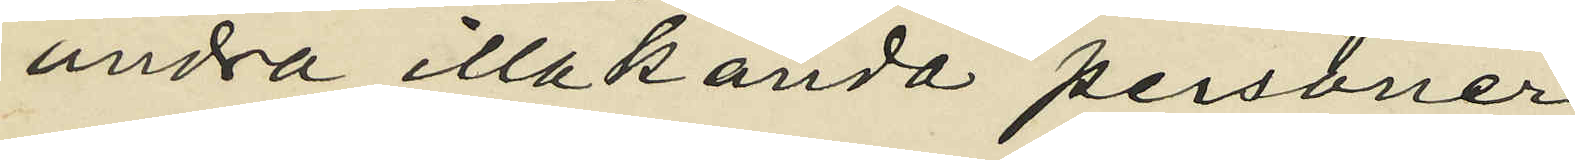andra illakända personer
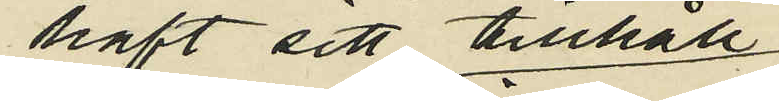haft sitt tillhåll,
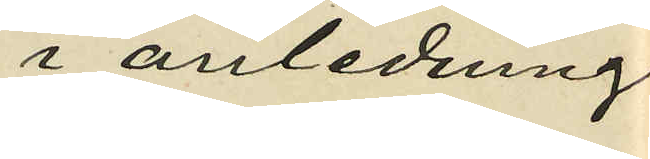i anledning
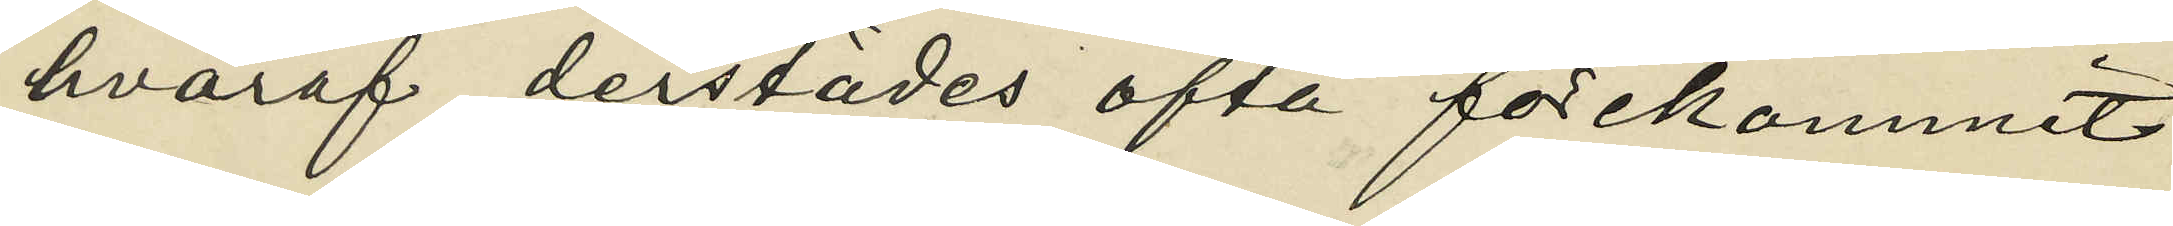hvaraf derstädes ofta förekommit
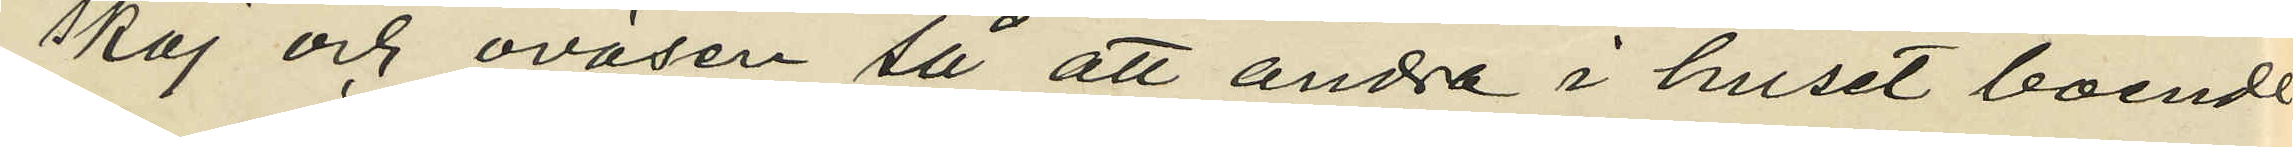skoj och oväsen så att andra i huset boende
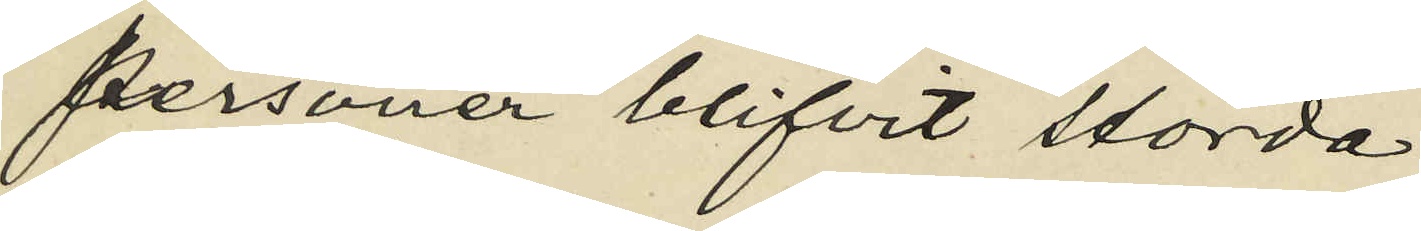personer blifvit störda;
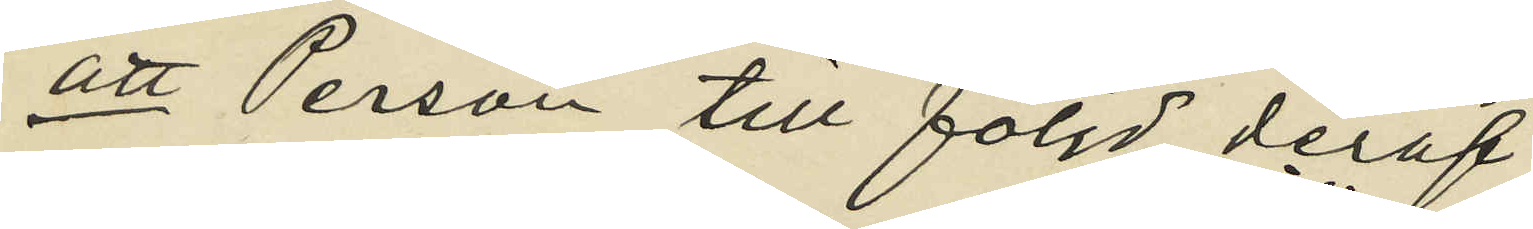att Person till följd deraf
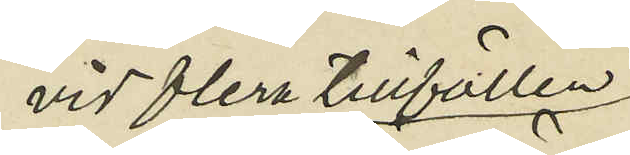vid flera tillfällen
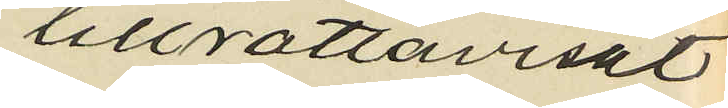tillrättavisat
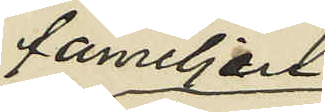familjen
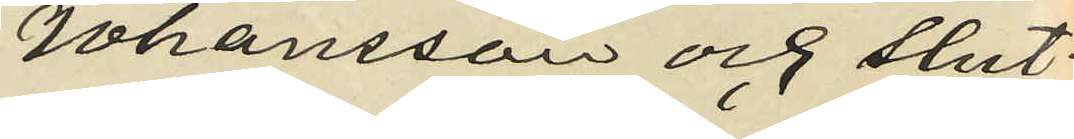Johansson och slut¬
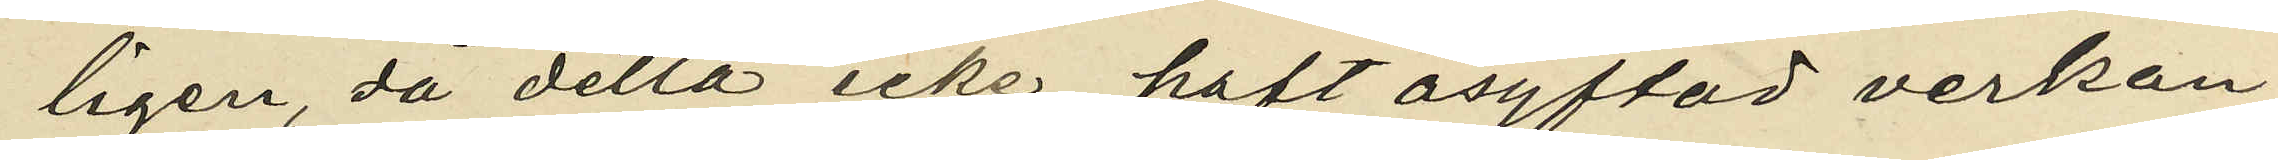ligen, då detta icke haft åsyftad verkan,
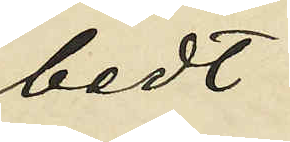bedt
